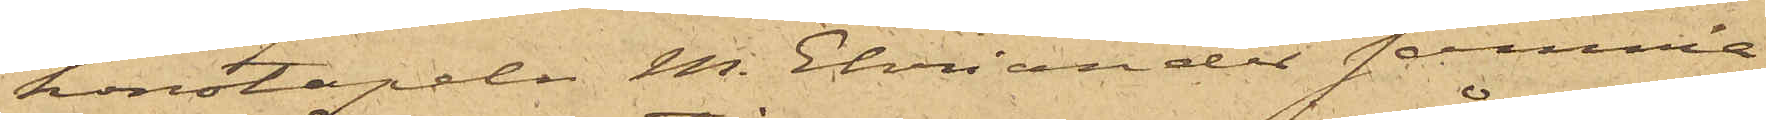konstapeln M. Ehviander samma
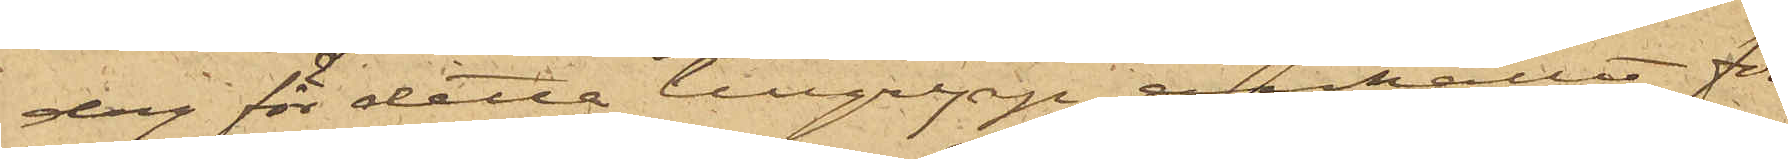dag för detta tillgrepp ahållit för
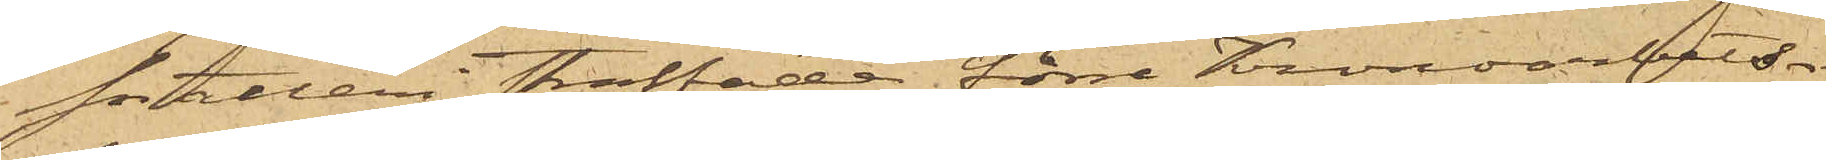snatteri straffade förre Kronoarbets¬
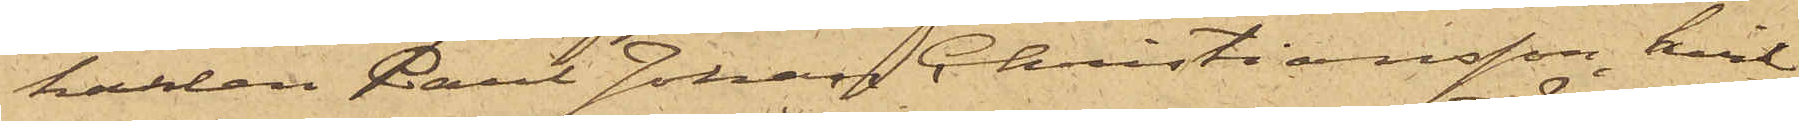karlen Karl Johan Christiansson, hvil¬
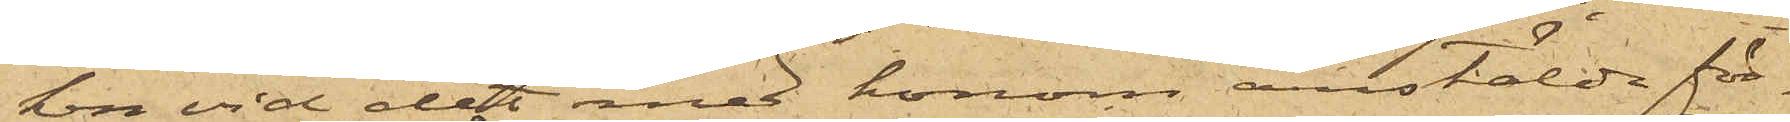ken vid det med honom anstälde för¬
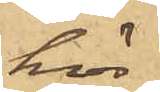hör
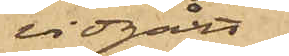vidgått,
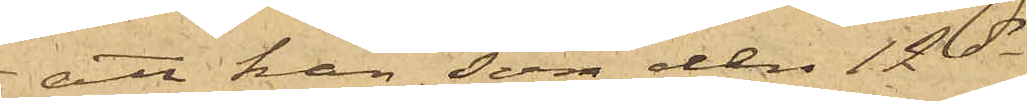att han, som den 12 ds
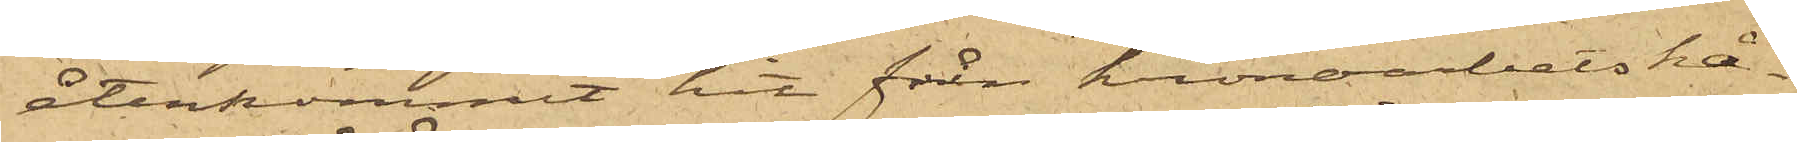återkommit hit från kronoarbetskå¬
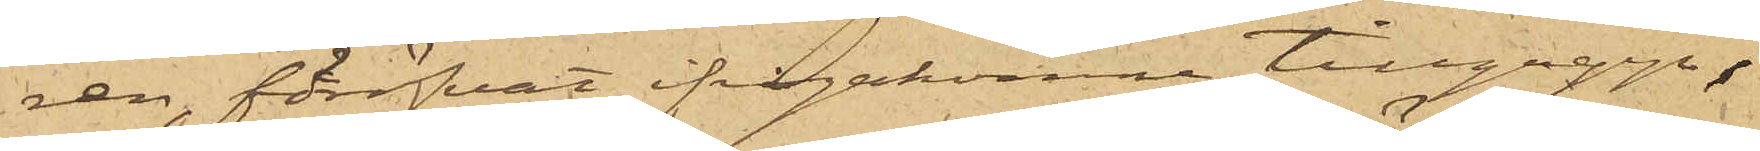ren, föröfvat ifrågakomne tillgrepp;
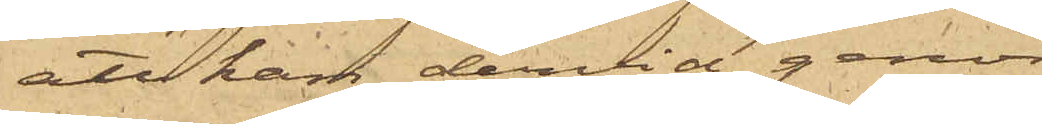att han dervid genom
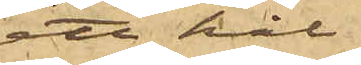ett hål
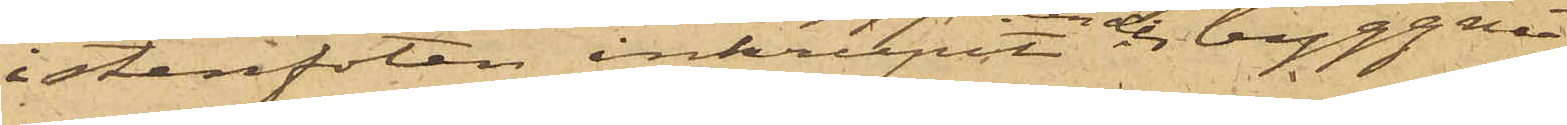i stenfoten inkrupit under byggna¬
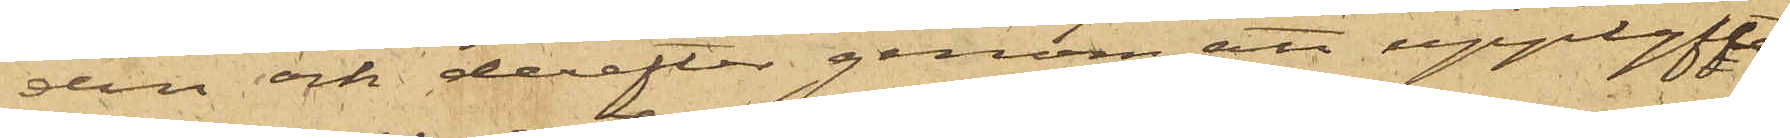den och derefter genom att upplyfta
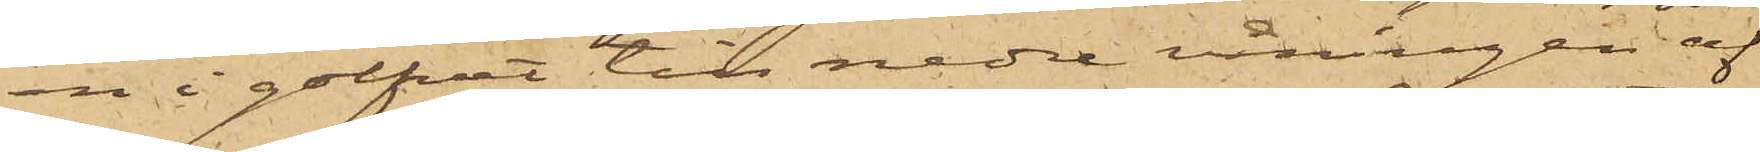en i golfvet till nedre våningen af
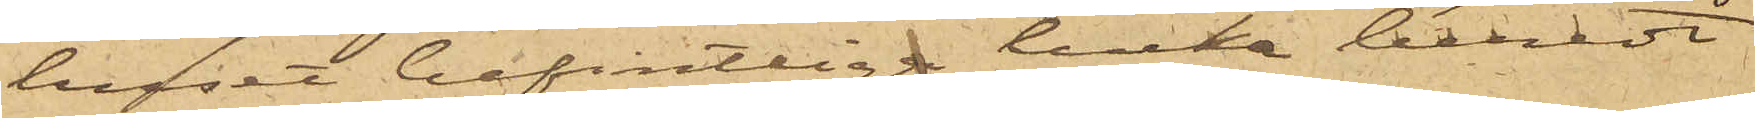huset befintliga lucka beredt
